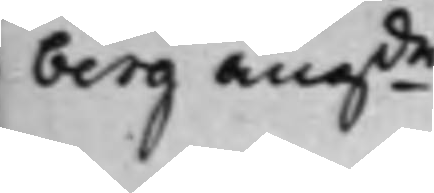berg angde 
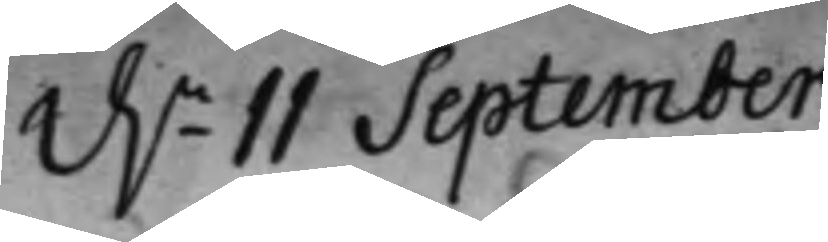d.n 11 September
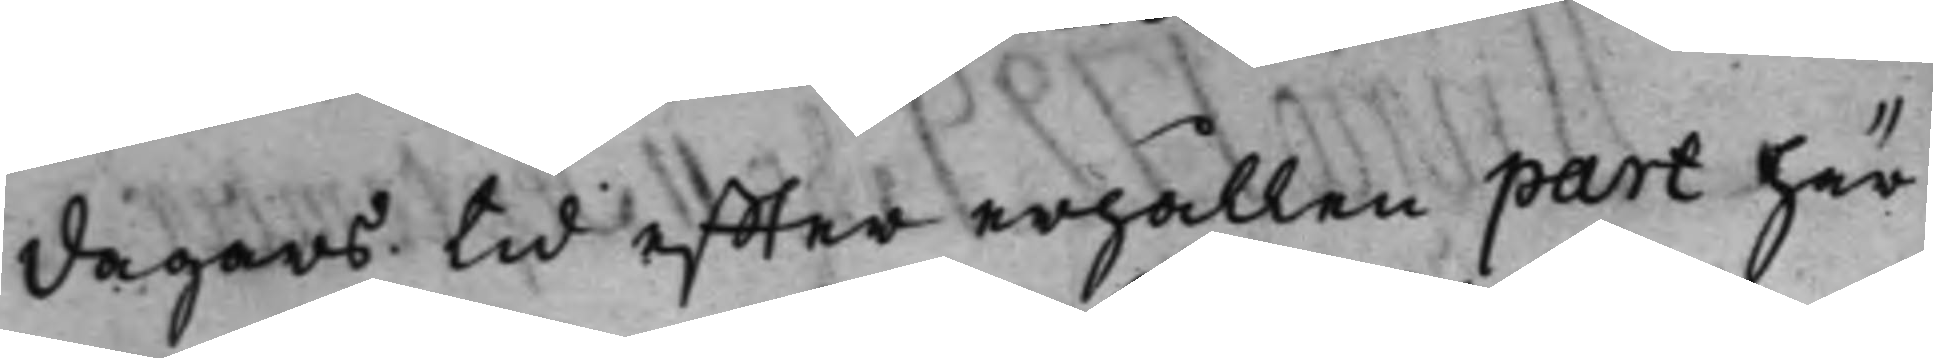dagars tid effter erhållen part här¬
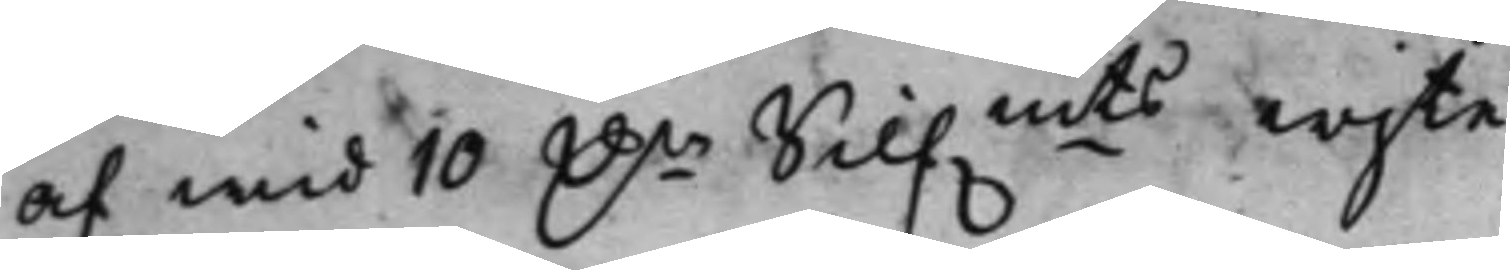af wid 10 D.r Silf.mts wijte
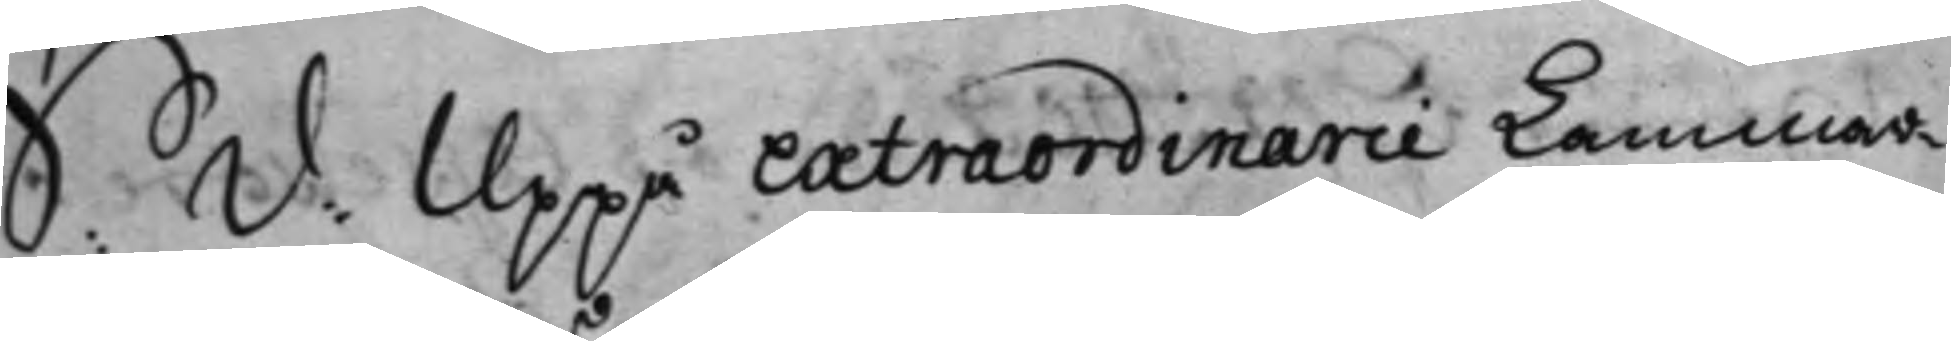S.d. Uppå extraordinarie Kammar¬
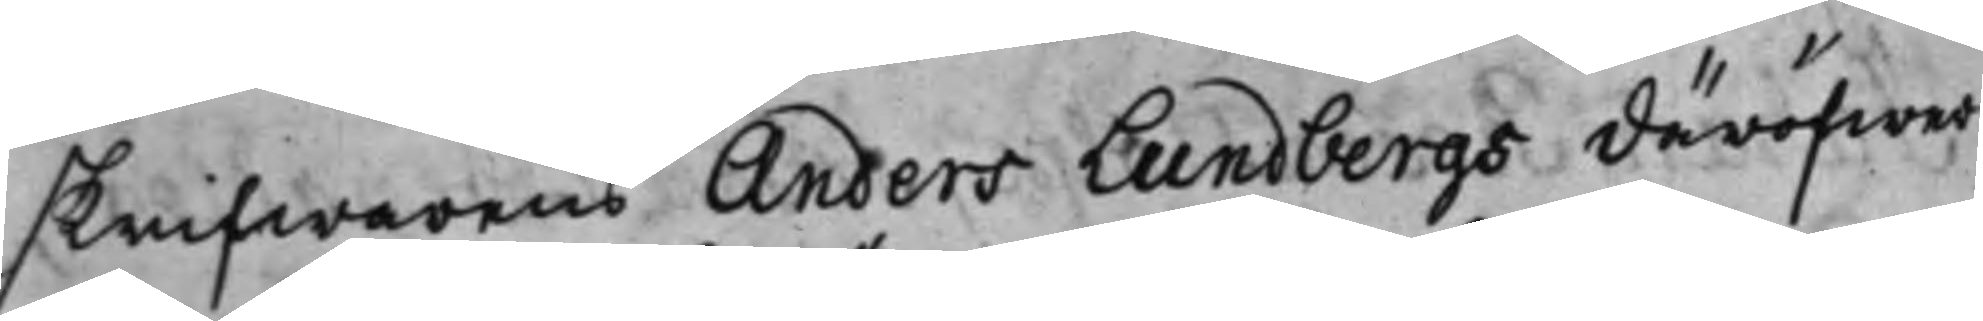skrifwarens Anders Lundbergs däröfwer
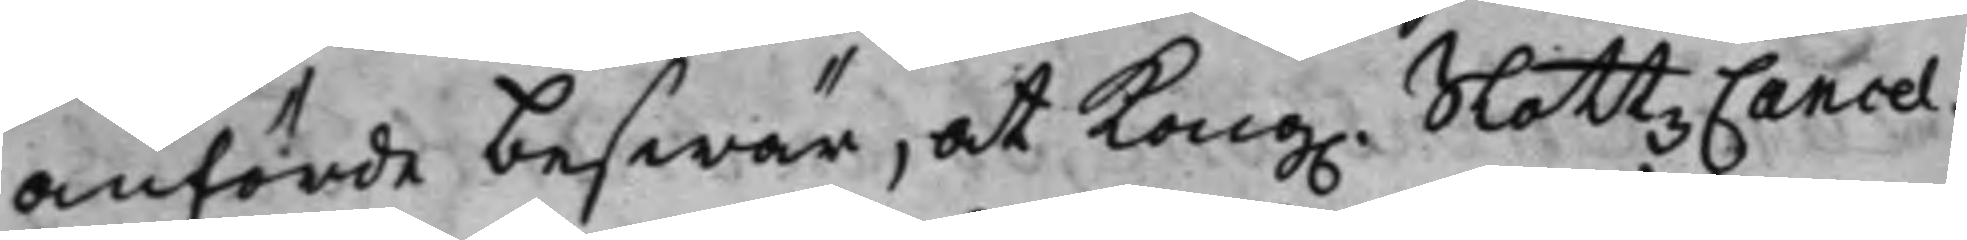anförde beswär, at Kong. SlottzCancel¬
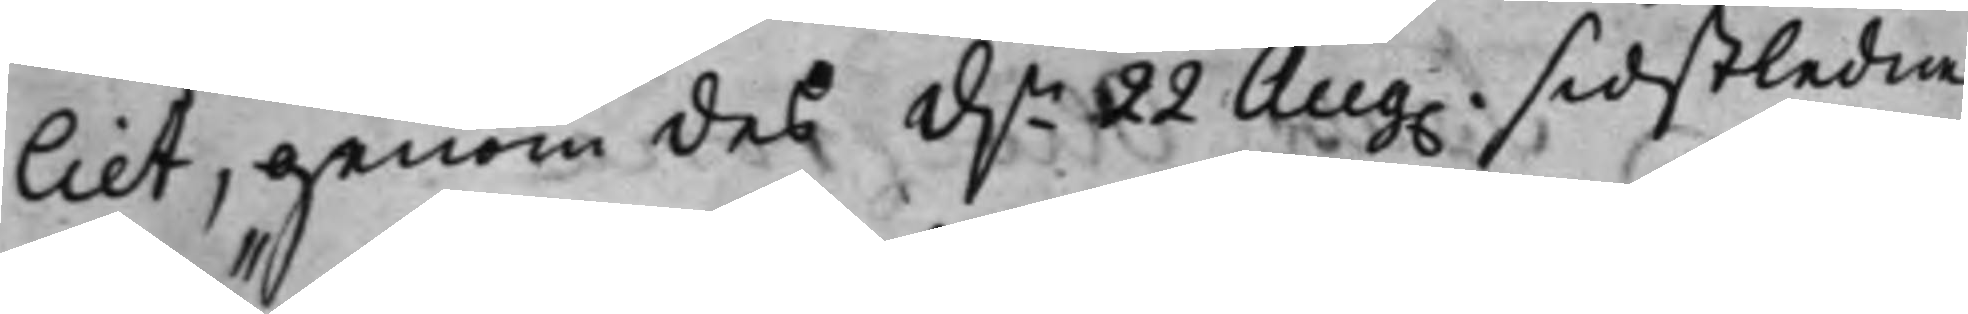liet, genom des d.n 22 Aug. sidstledne
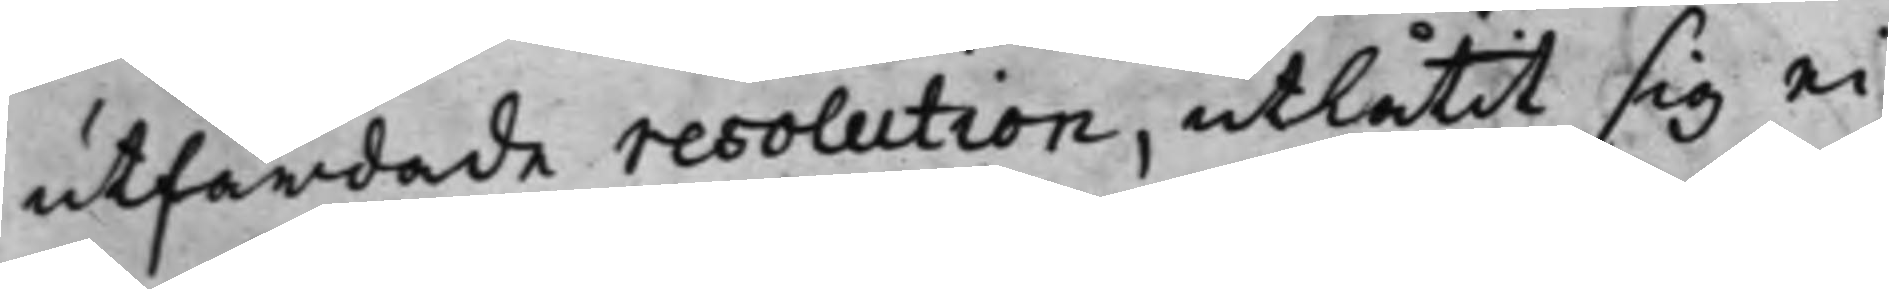utfärdade resolution, utlåtit sig ei
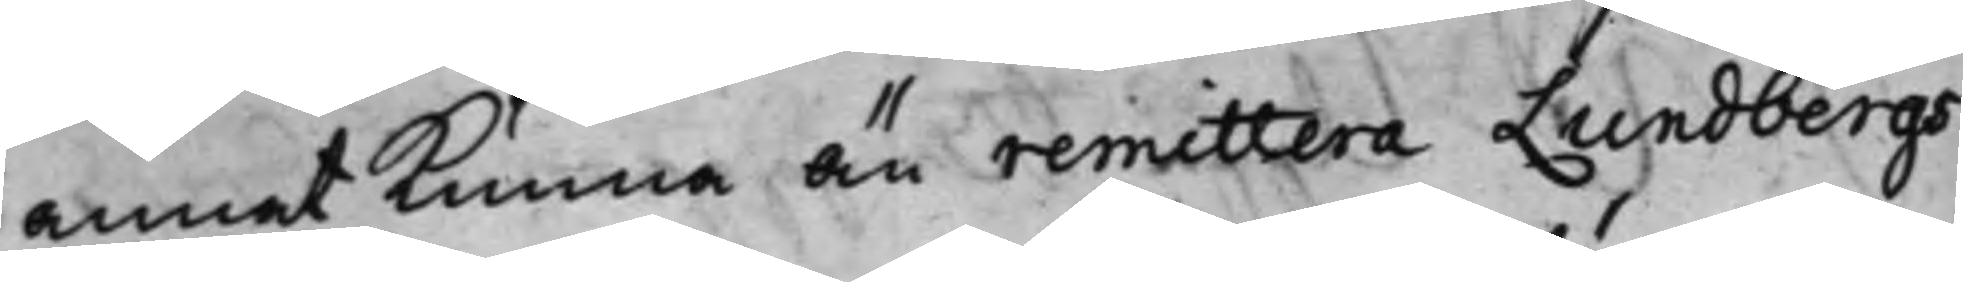annat kunna än remittera Lundbergs
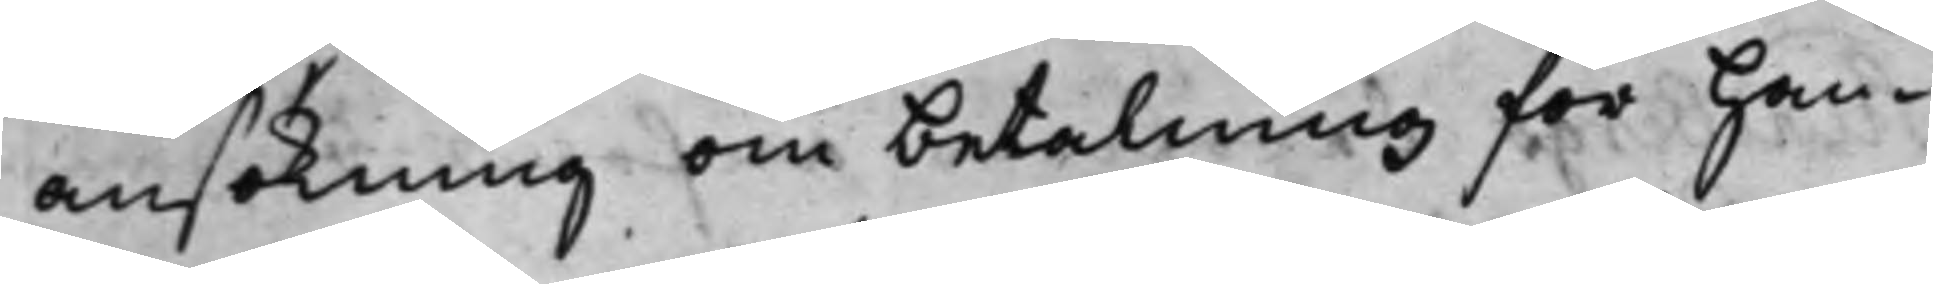ansökning om betalning för han¬
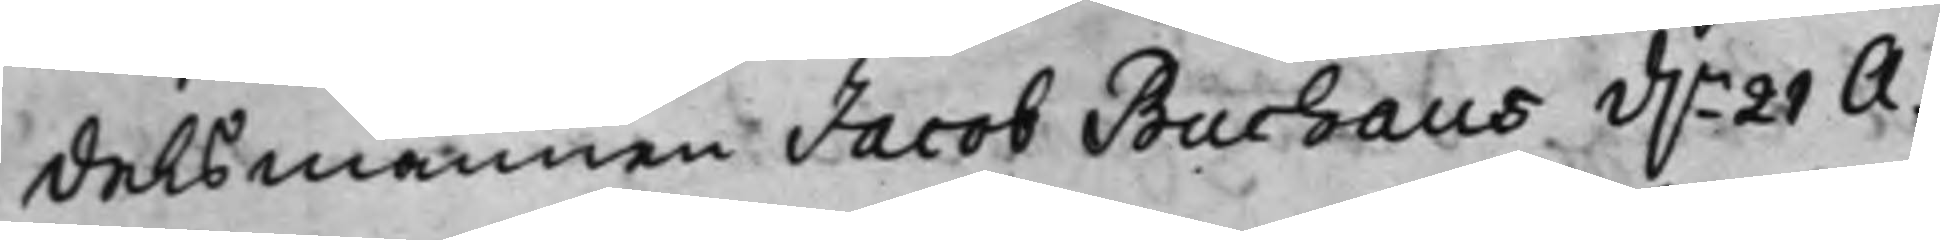delsmannen Jacob Buchaus d.n 21 A¬
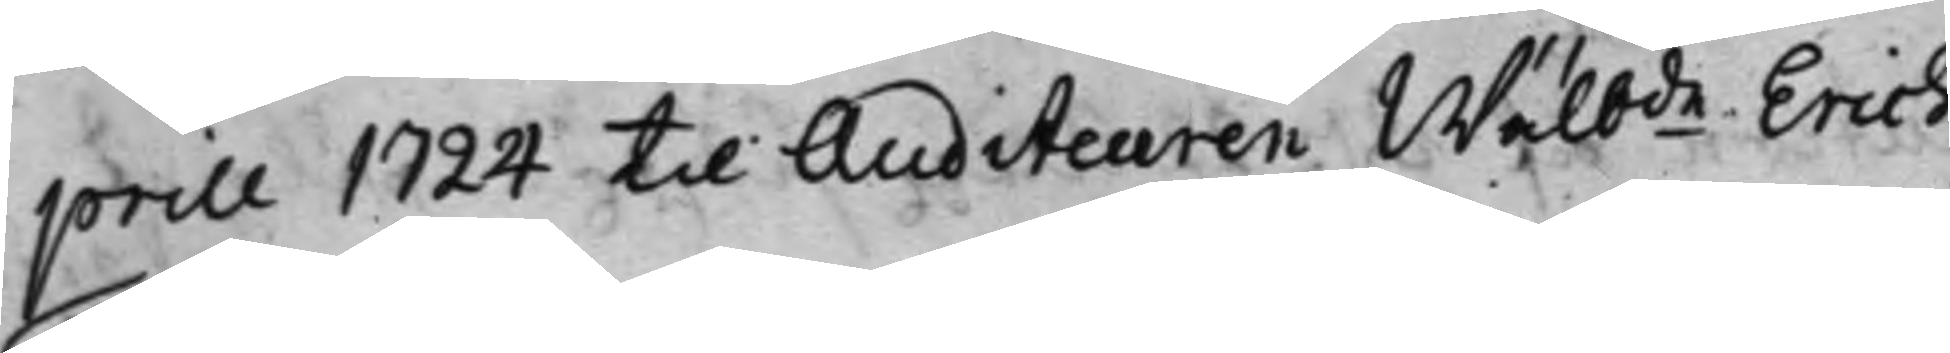prill 1724 til Auditeuren Wälbde Erich
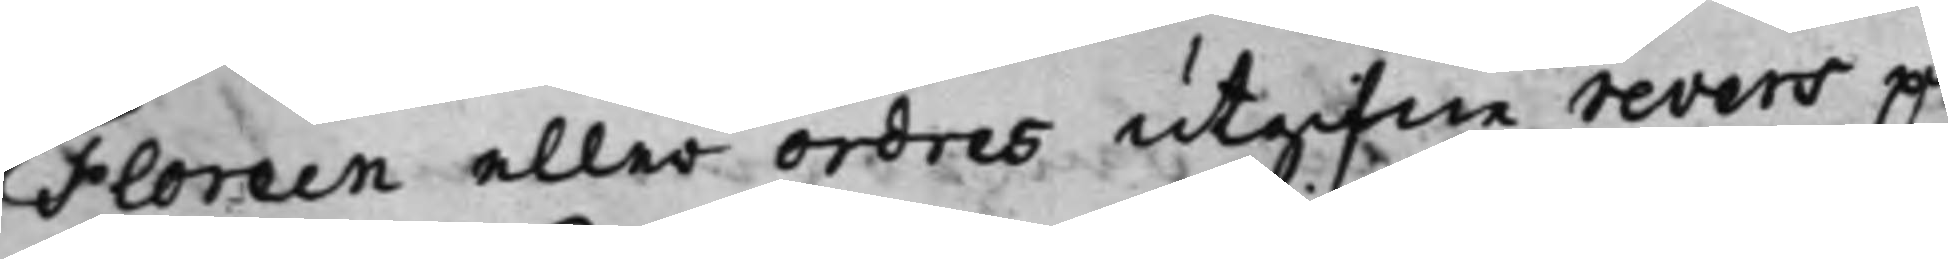Floreen eller ordres utgifne revers på
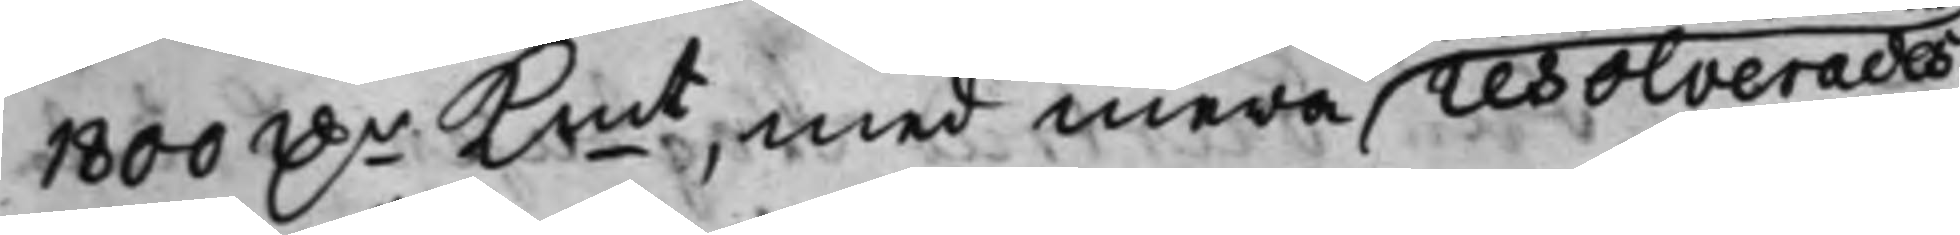1800 D.r Kmt, med mera resolverades,
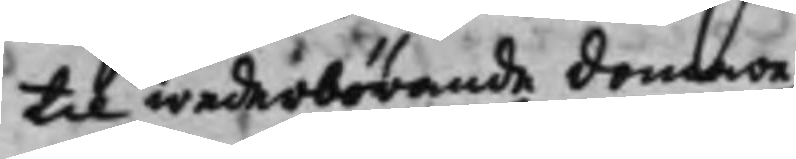til wederbörande domare
